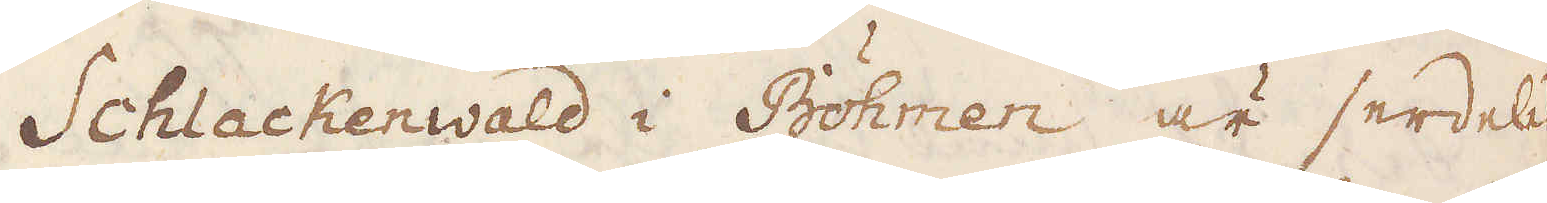Schlackenwald i Böhmen är serdeles
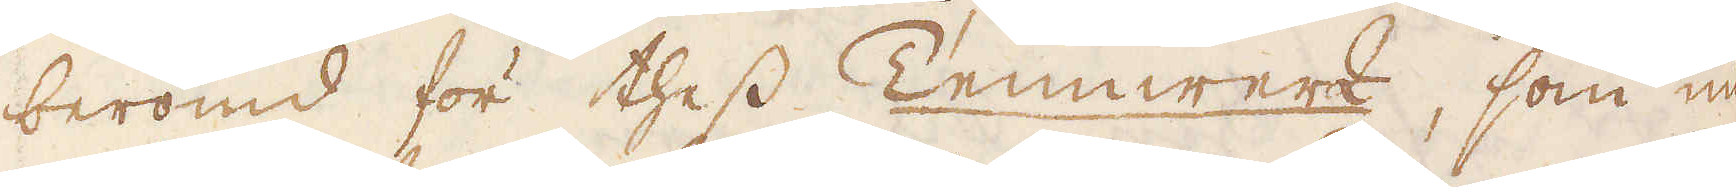berömd för thess Tennwerk, som nu
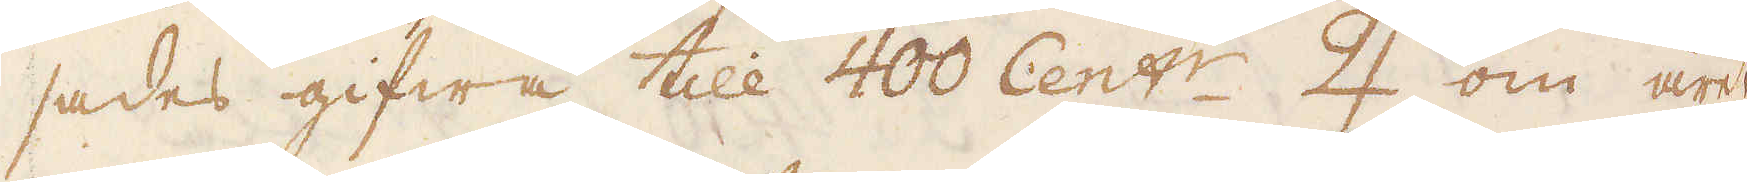sades gifwa till 400 Cent:r ♃ om året
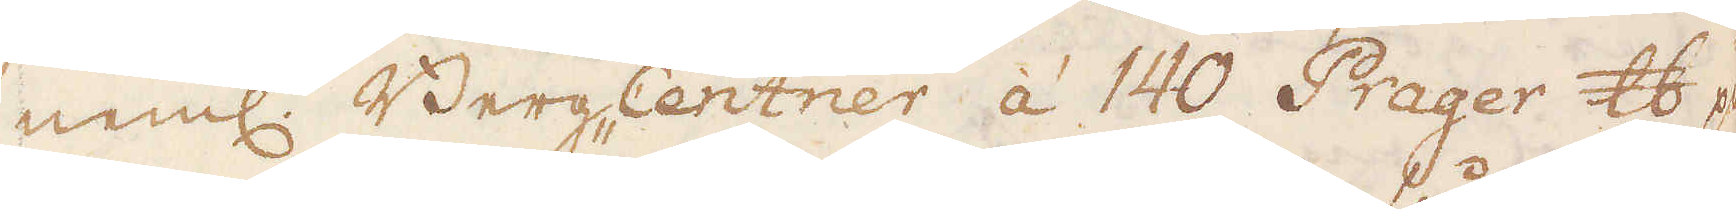neml. Berg-Centrer á 140 Prager skålpund p
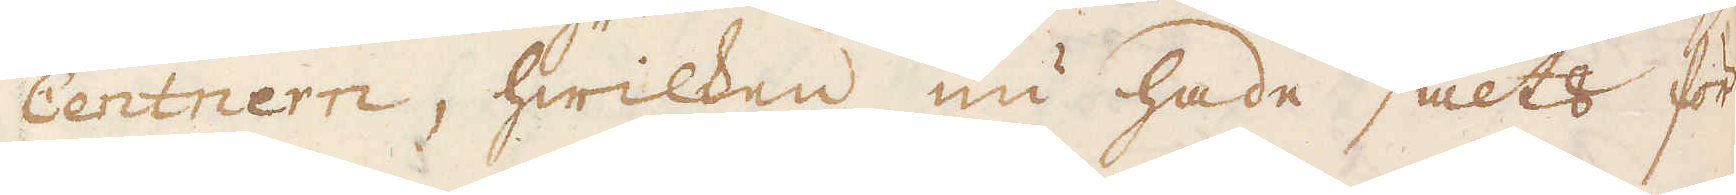Centnern, hwilken nu hade sålts för
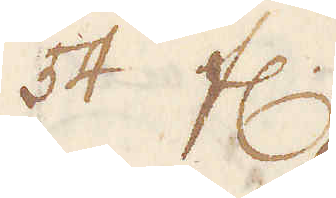64 fl.
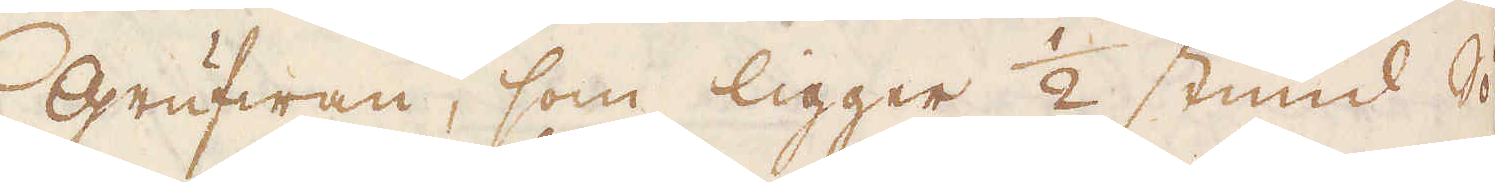Grufwan, som ligger 1/2 stund Sö-
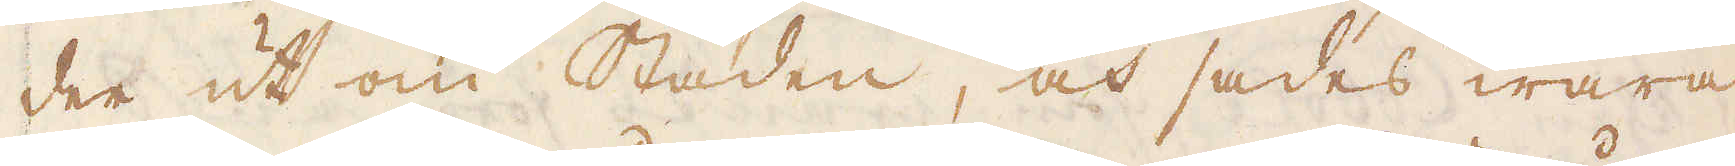der ut om staden, och sades wara
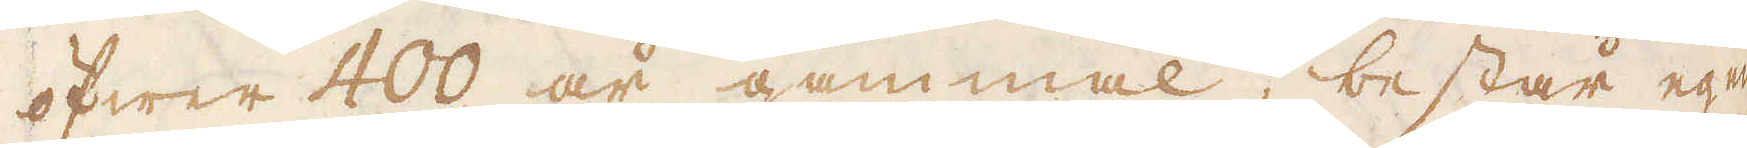öfwer 400 år gammal, består egen-
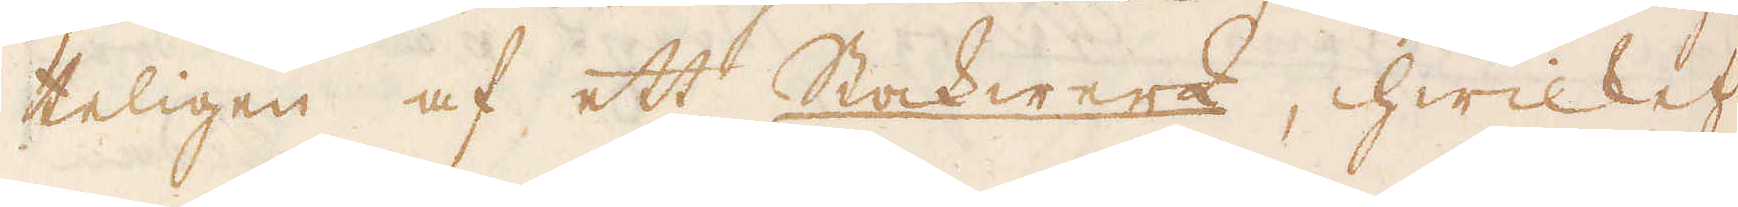teligen af ett Stockwerk, hwilket
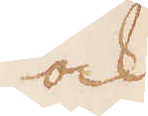och
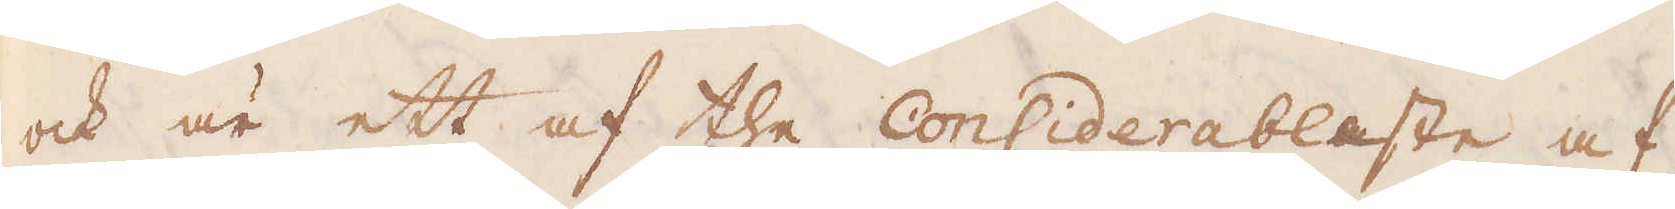och är ett af the considerablaste af
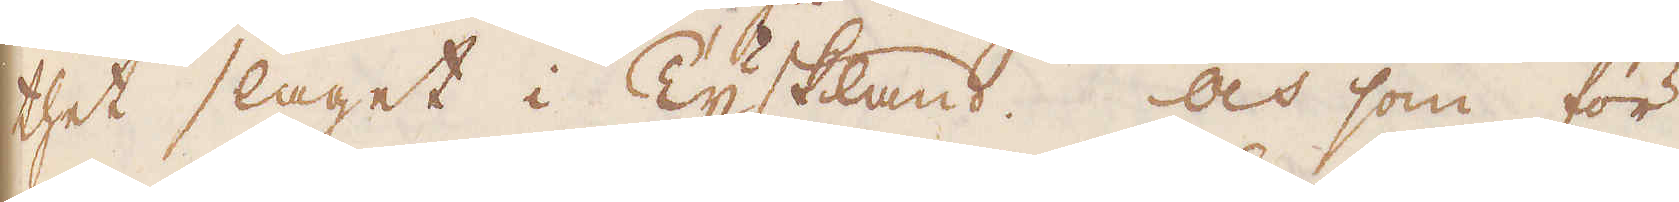thet slaget i Tyskland. Och som för
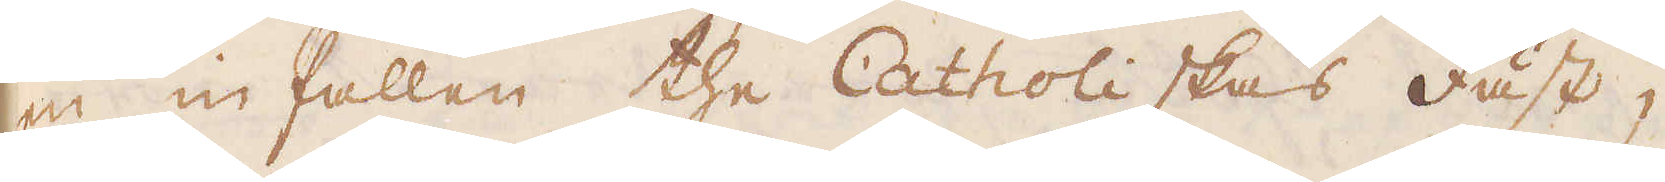en in fallen the Catholiskas fäst,
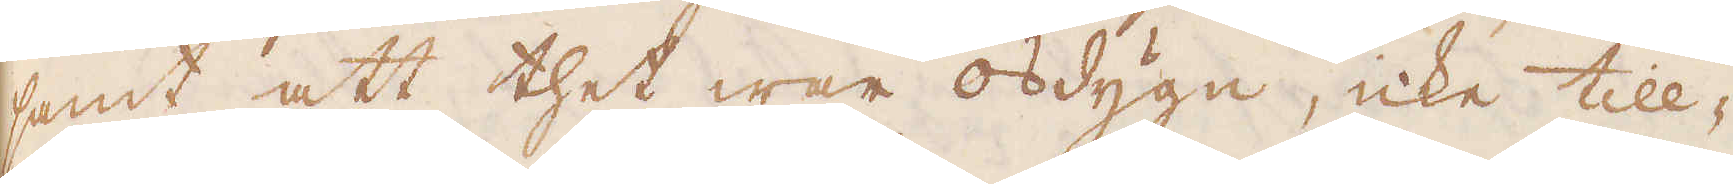samt att thet war osdygn, icke till-
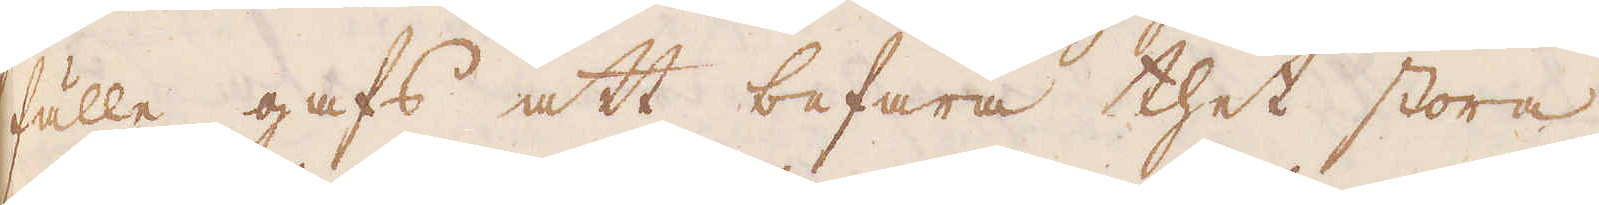fulle gafs att befara thet stora
